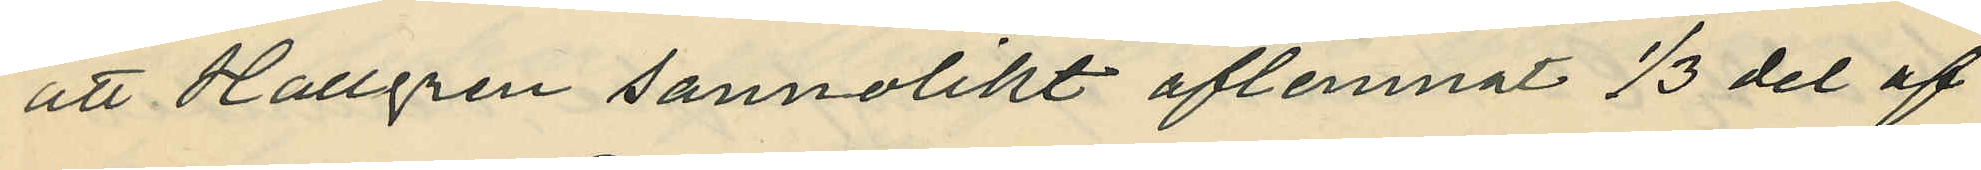att Hallgren sannolikt aflemnat 1/3 del af
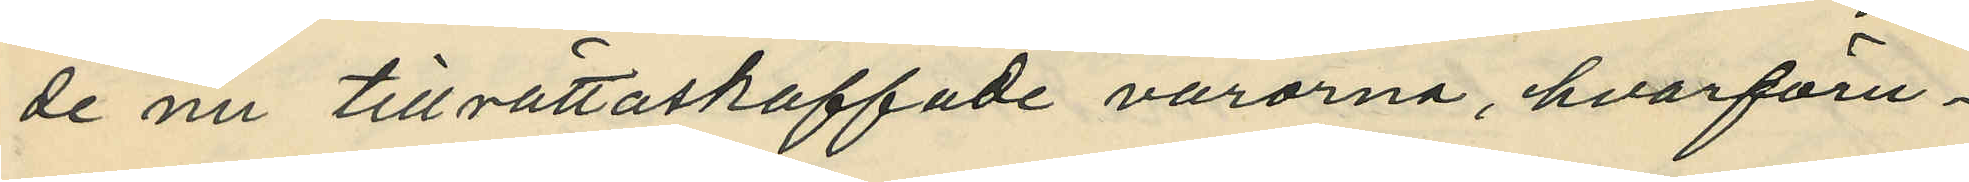de nu tillrättaskaffade varorna, hvarföru¬
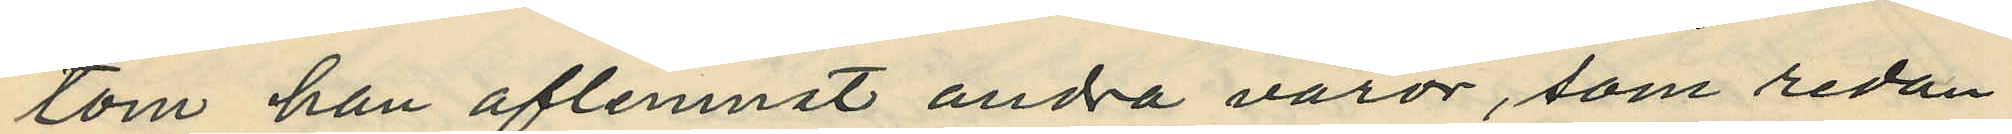tom han aflemnat andra varor, som redan
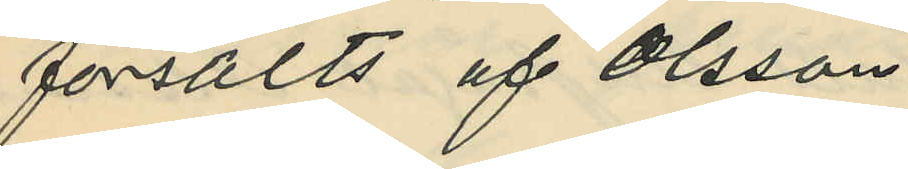försålts af Olsson
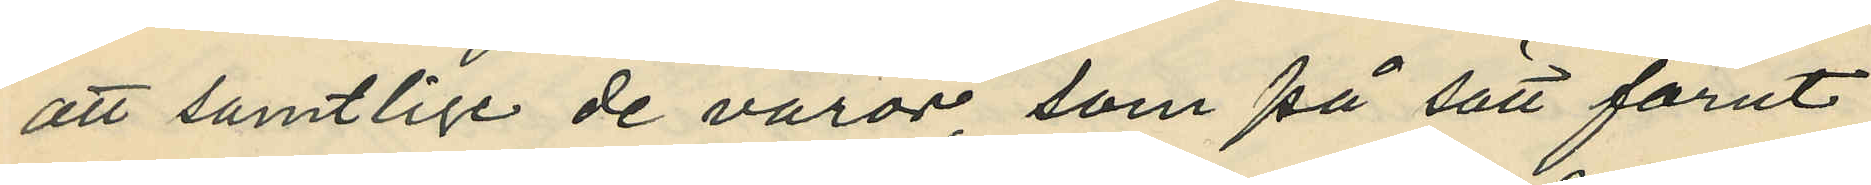att samtlige de varor, som på sätt förut
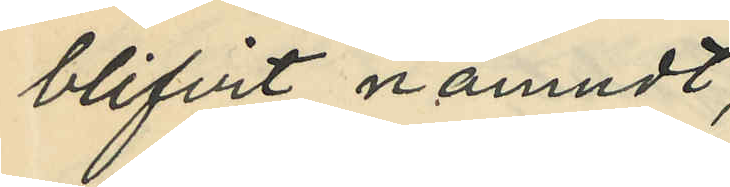blifvit nämndt,
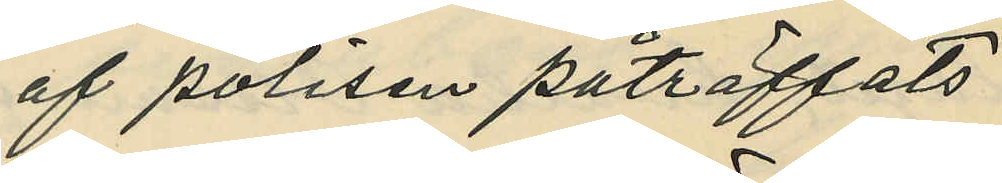af polisen påträffats
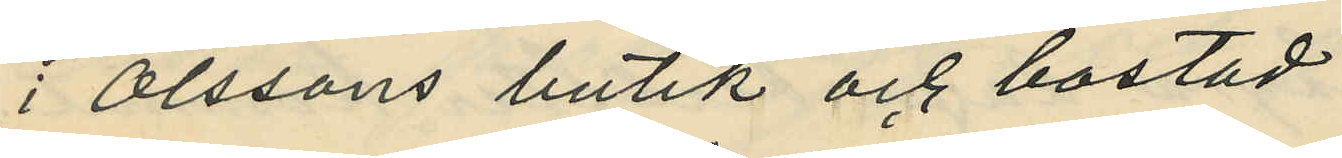i Olssons butik och bostad
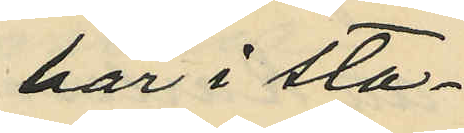här i sta¬
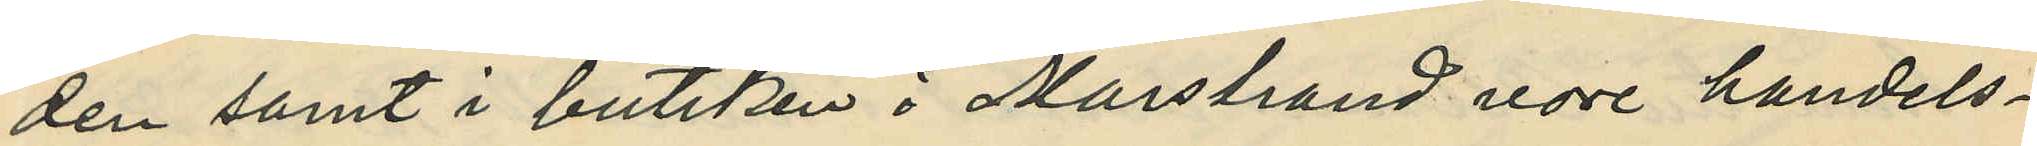den samt i butiken i Marstrand vore handels¬
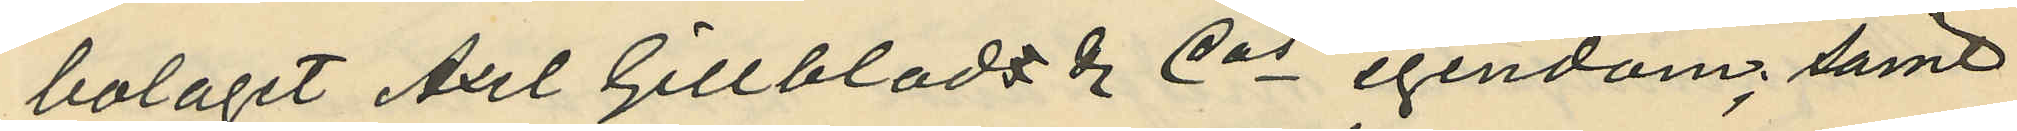bolaget Axel Gillblads & Cos egendom; samt
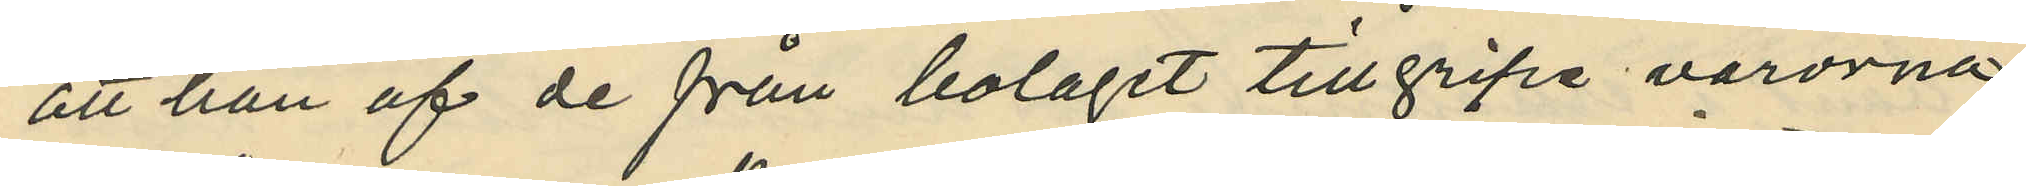att han af de från bolaget tillgripe varorna
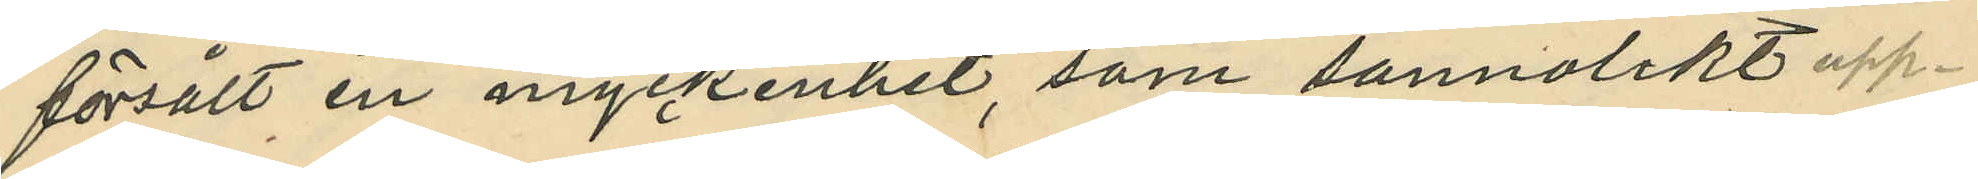försålt en myckenhet, som sannolikt upp¬
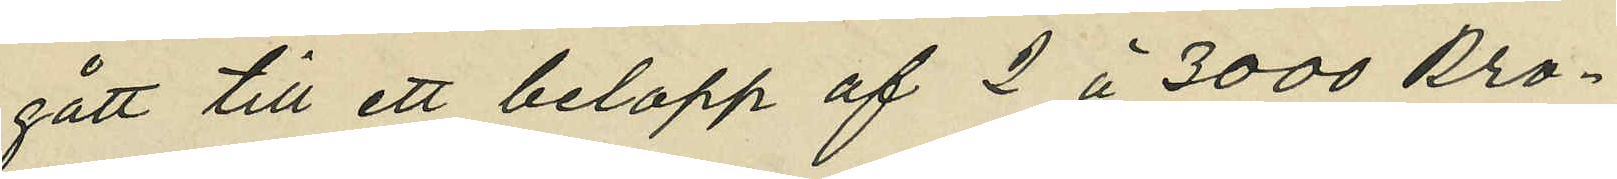gått till ett belopp af 2 à 3000 kro¬
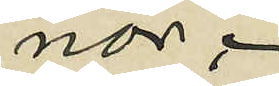nor.
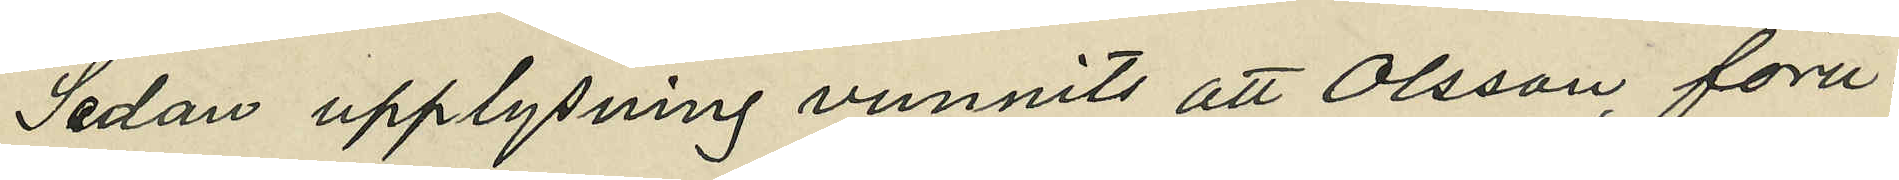Sedan upplysning vunnits att Olsson föru¬
